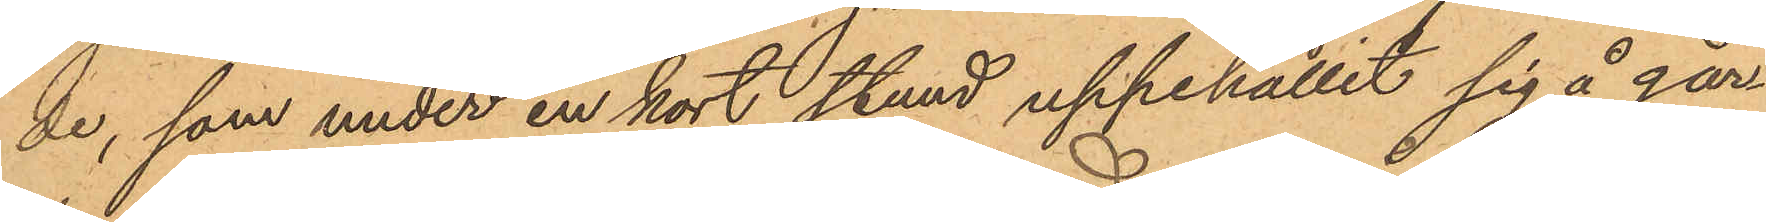de, som under en kort stund uppehållit sig å går¬
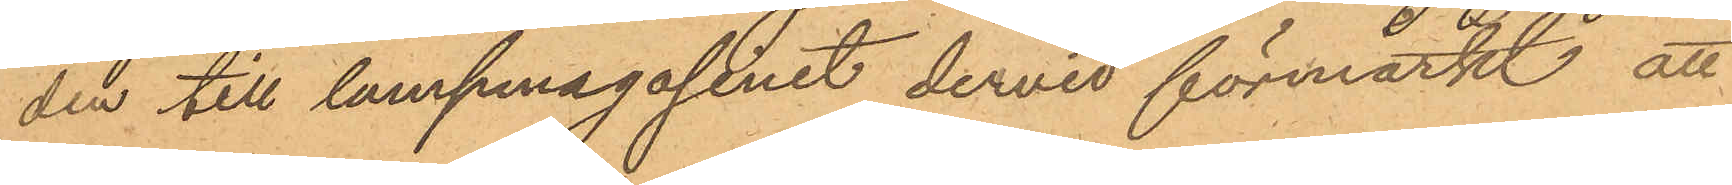den till lumpmagasinet dervid förmärkt att
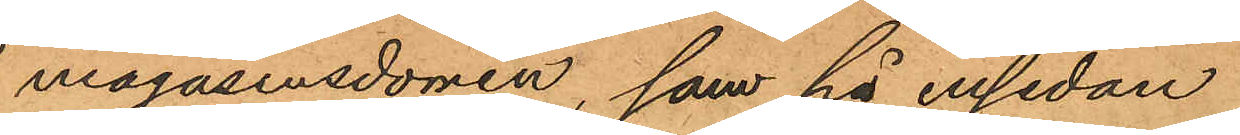magasinsdörren, som på ensidan
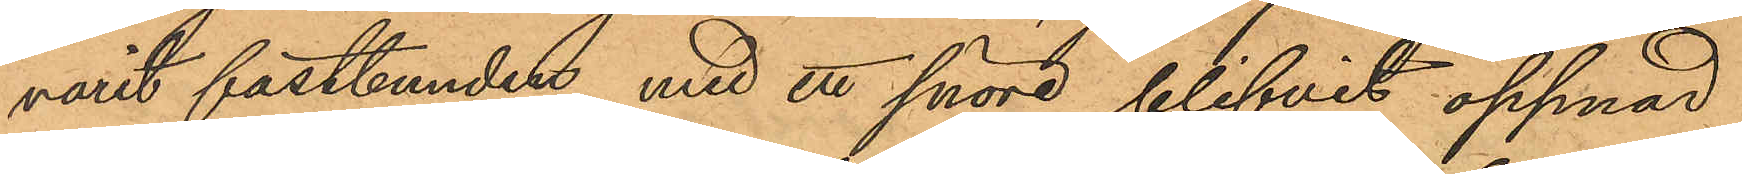varit fastbunden med ett snöre blifvit öppnad
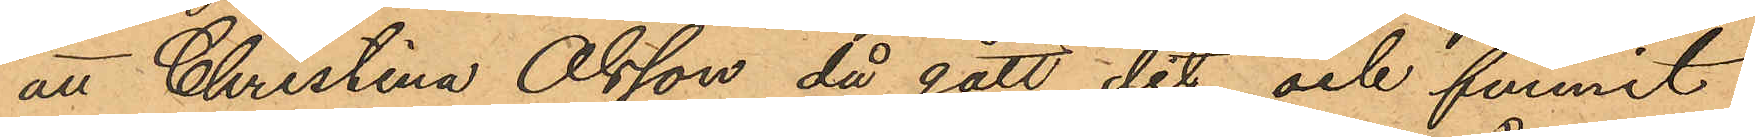att Christina Olsson då gått dit och funnit
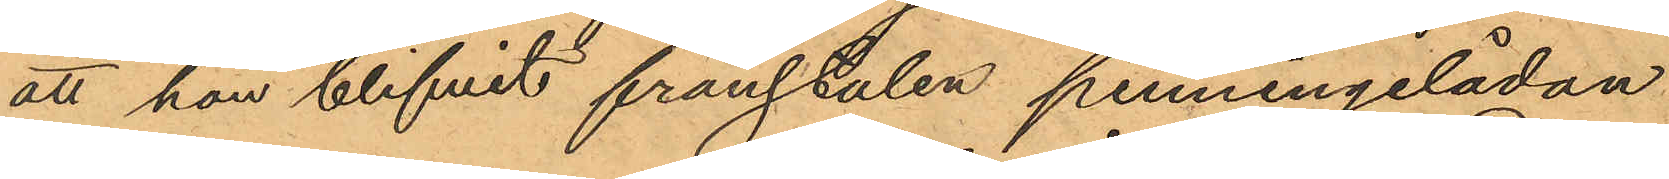att hon blifvit frånstulen penningelådan
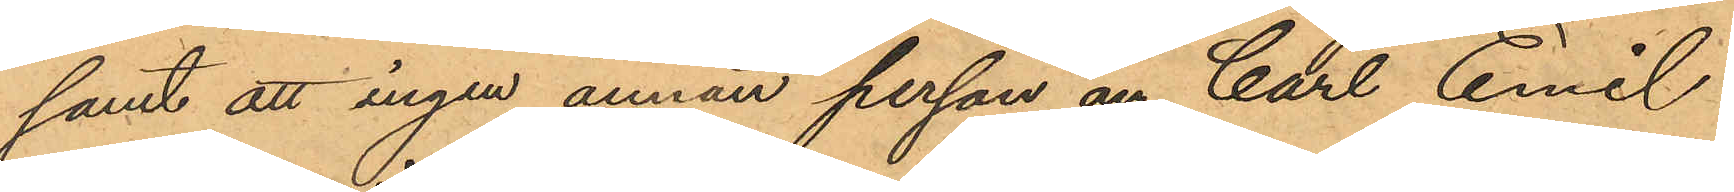samt att ingen annan person än Carl Emil
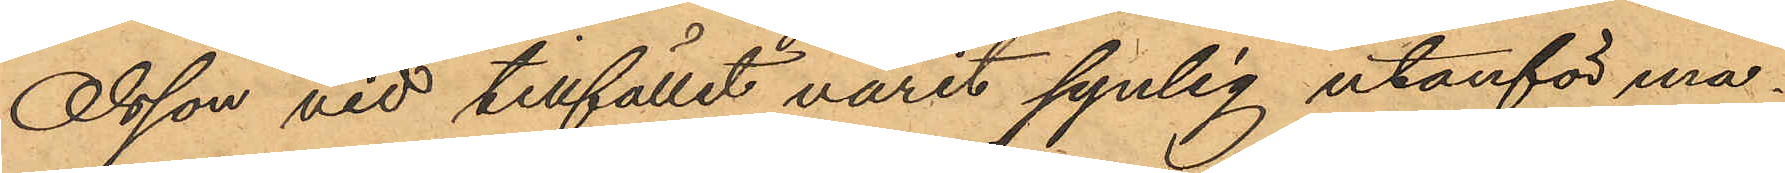Olsson vid tillfället varit synlig utanför ma¬
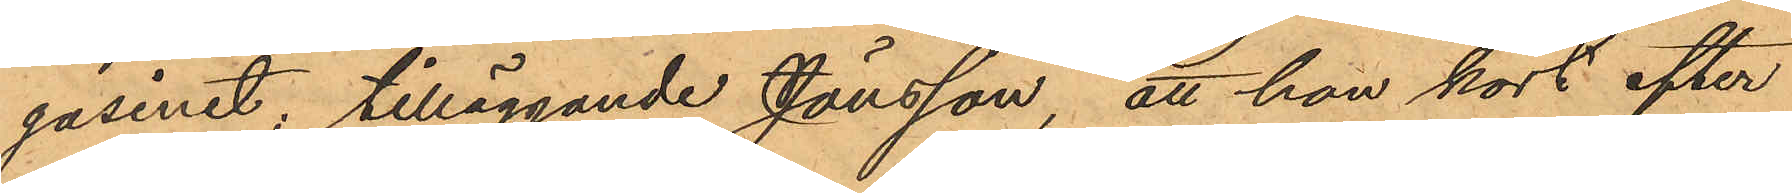gasinet; tilläggande Jönsson, att han kort efter
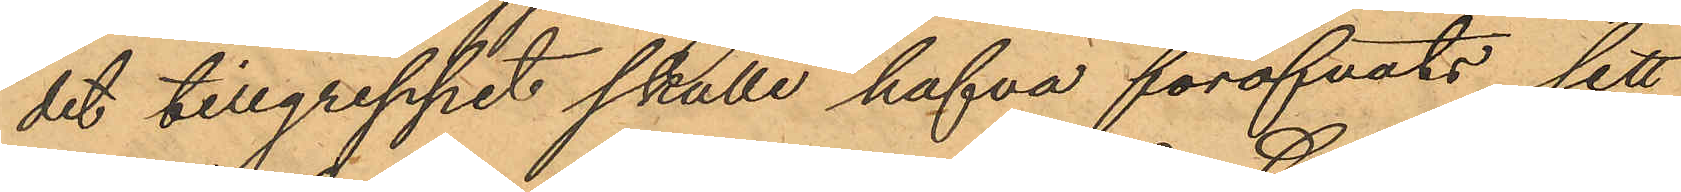det tillgreppet skulle hafva föröfvats sett
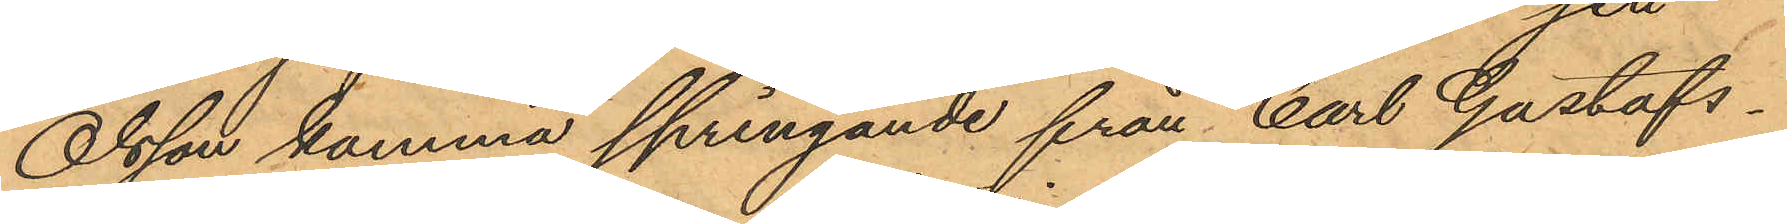Olsson komma springande från Carl Gustafs¬
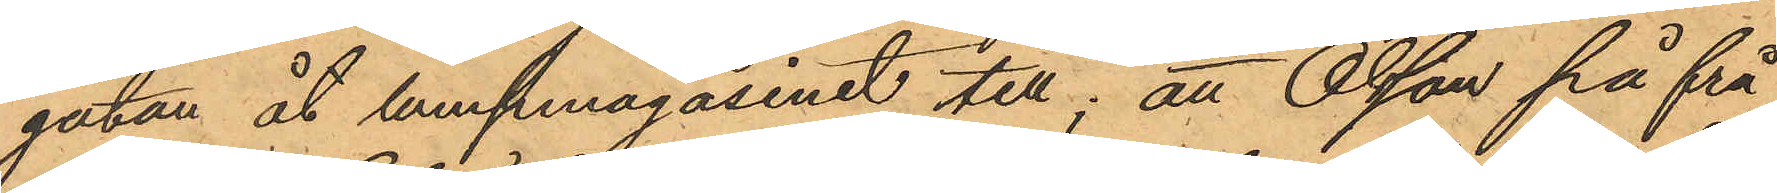gatan åt lumpmagasinet till; att Olsson på frå¬
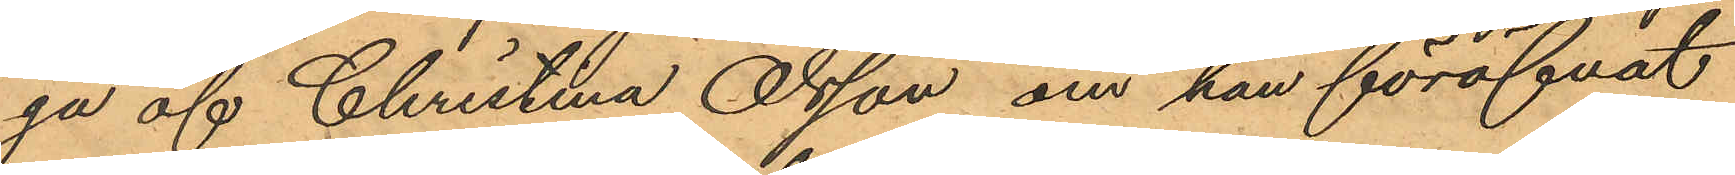ga af Christina Olsson om han föröfvat
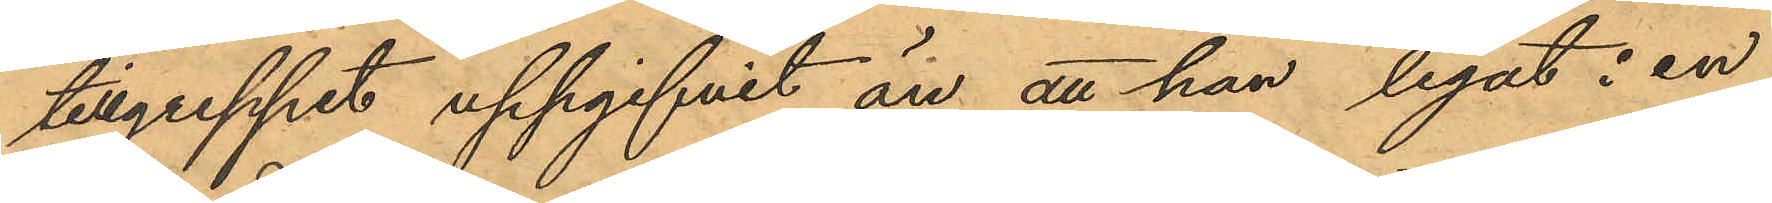tillgreppet uppgifvit än att han legat i en
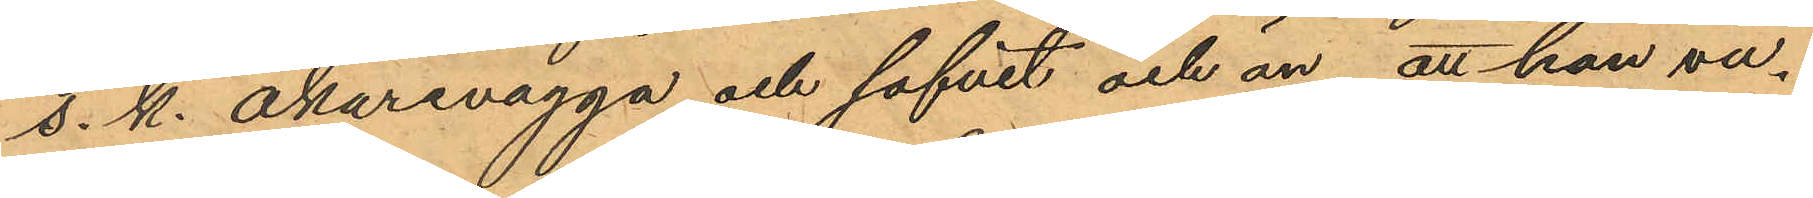s. k. åkarevagga och sofvit och än att han va¬
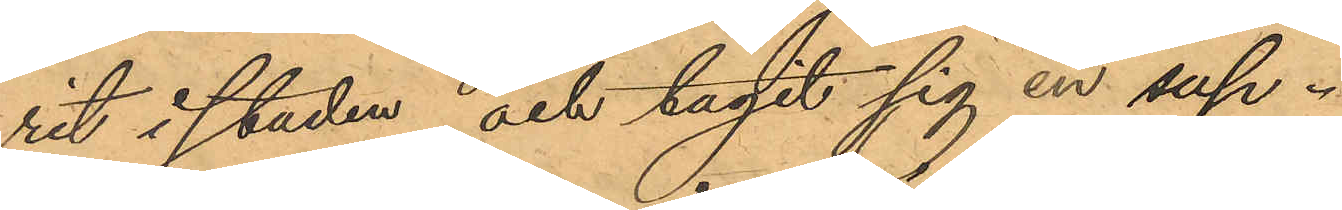rit i staden och tagit sig en sup.
